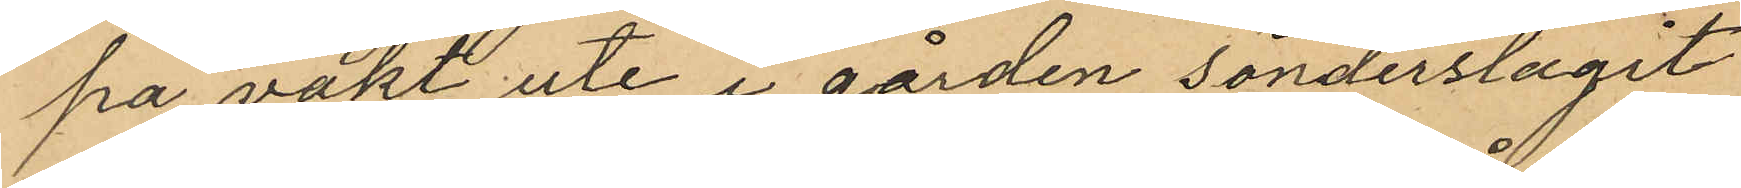på vakt uti i gården sönderslagit
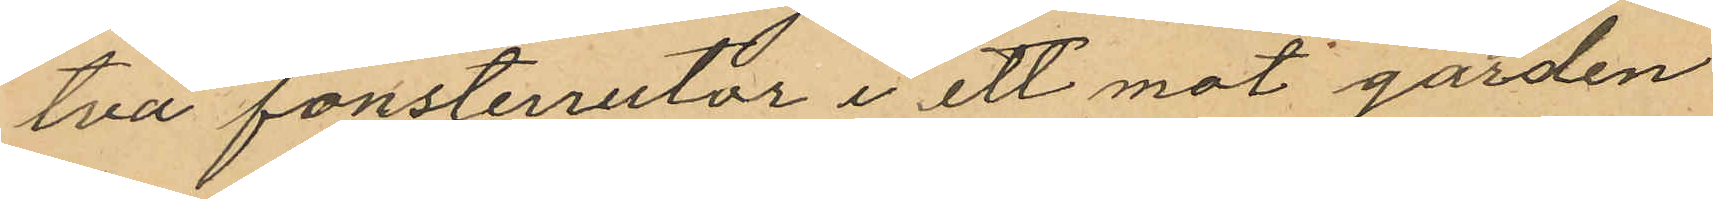två fönsterrutor i ett mot gården
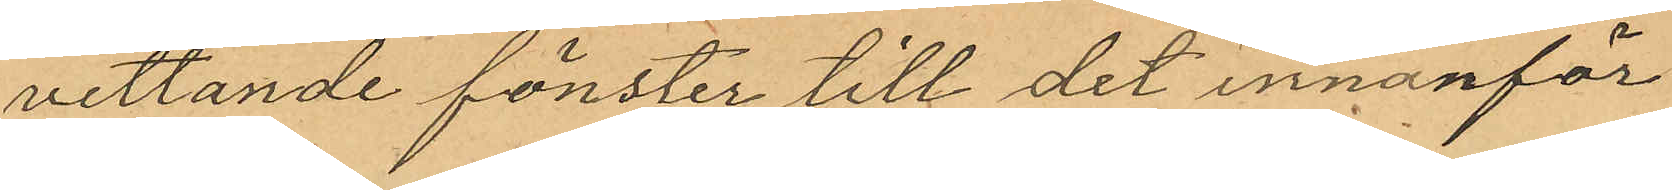vettande fönster till det innanför
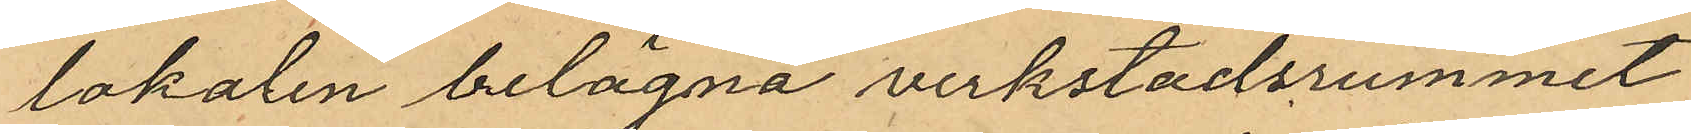lokalen belägna verkstadsrummet
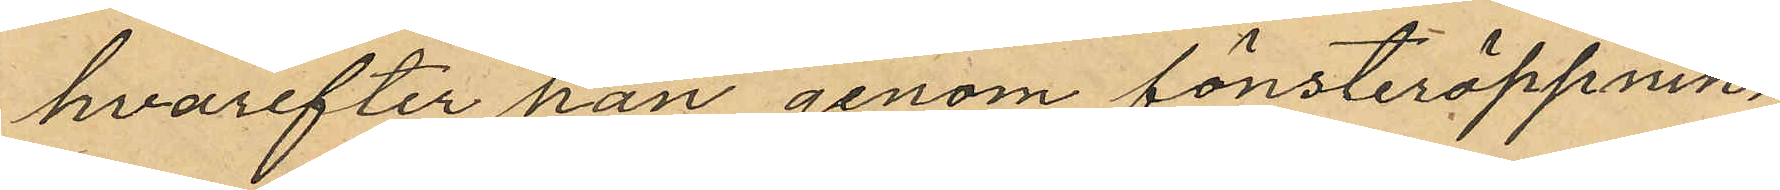hvarefter han genom fönsteröppnin¬
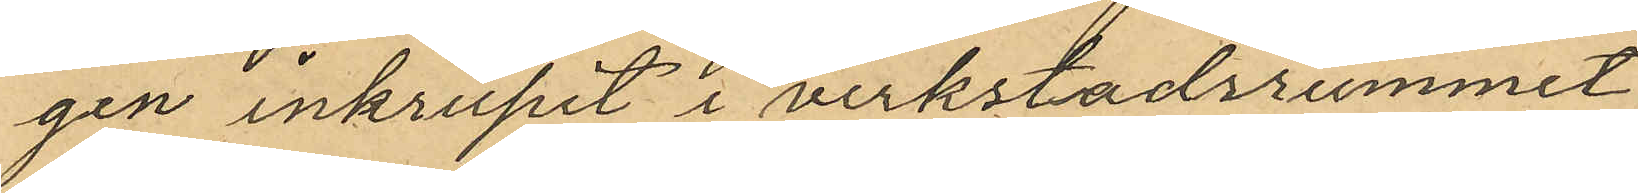gen inkrupit i verkstadsrummet
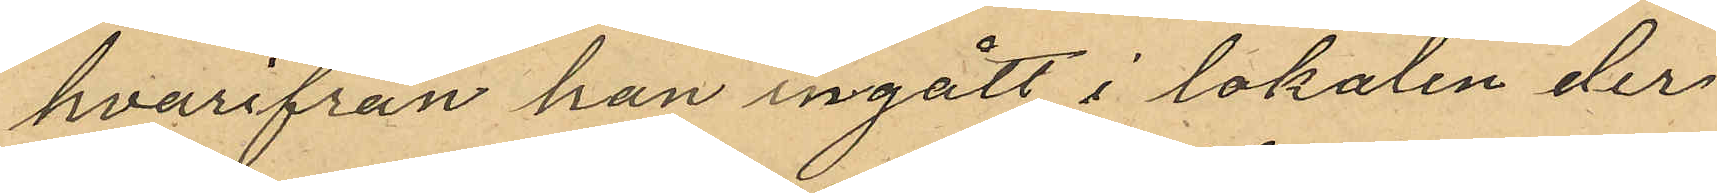hvarifrån han ingått i lokalen der
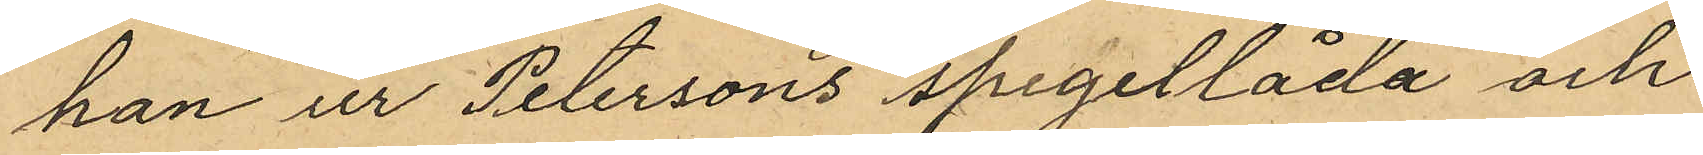han ur Peterssons spegellåda och
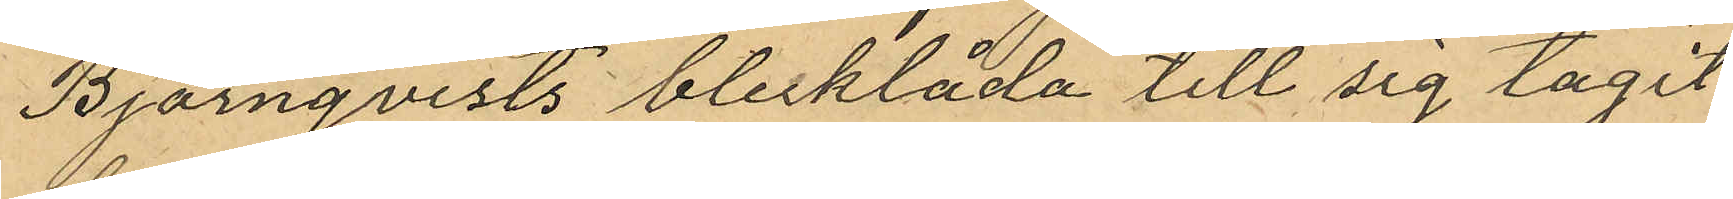Björnqvists blecklåda till sig tagit
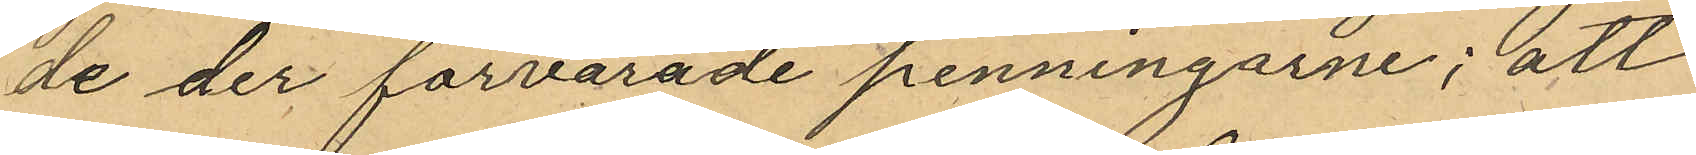de der förvarade penningarne; att
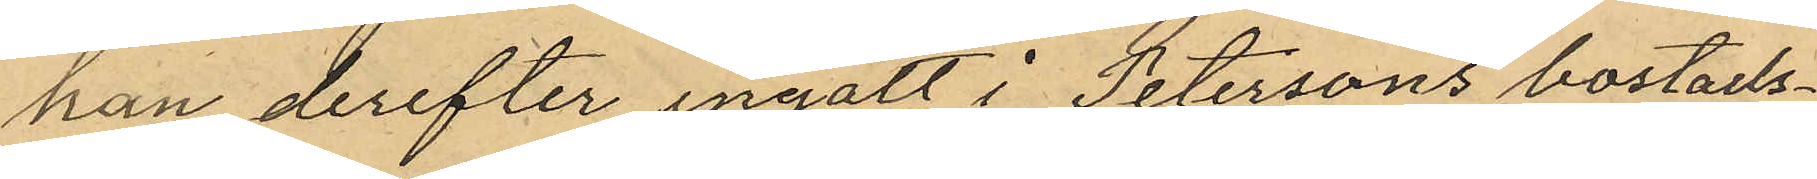han derefter ingått i Petersons bostads¬
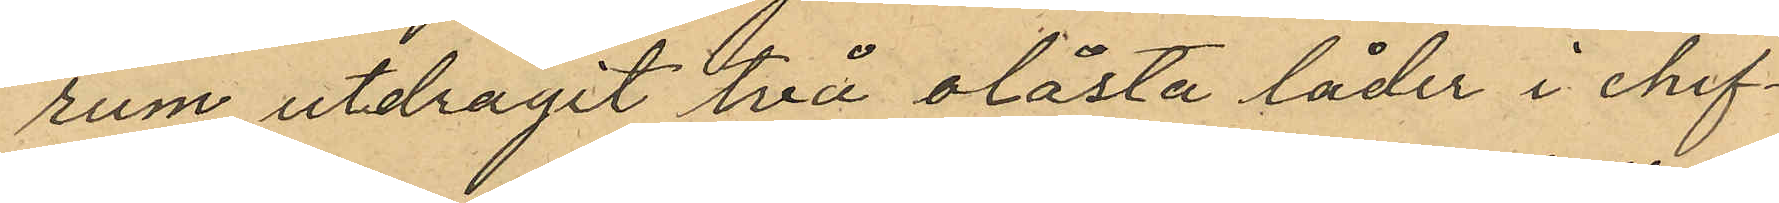rum utdragit två olåsta låder i chif¬
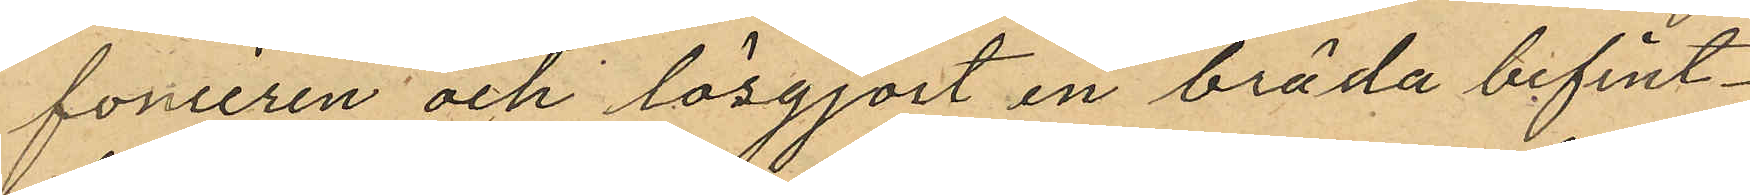fonieren och lösgjort en bräda befint¬
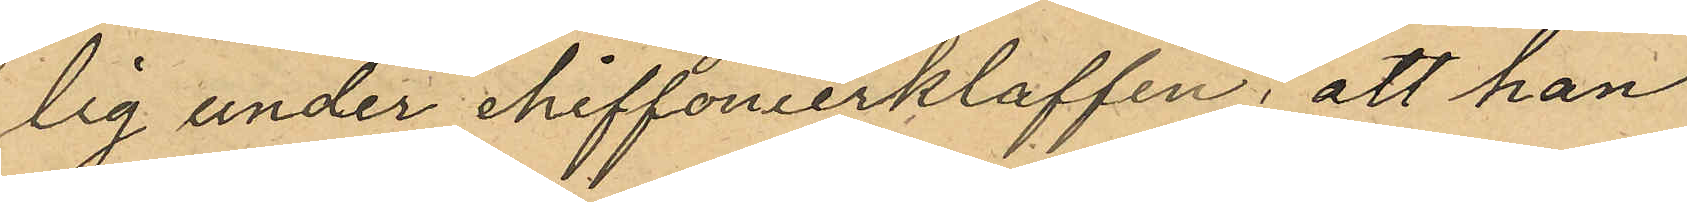lig under chiffonierklaffen i att han
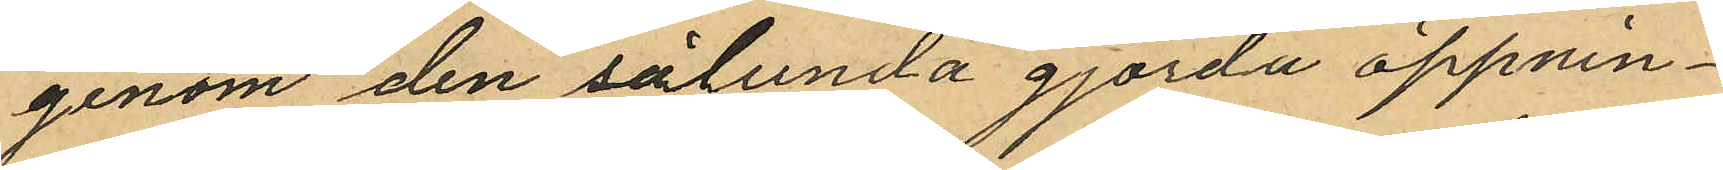genom den sålunda gjorda öppnin¬
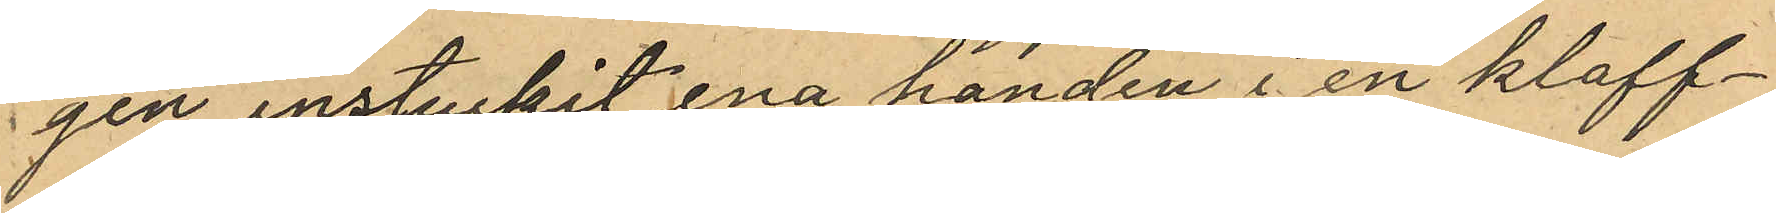gen instuckit ena handen i en klaff¬
